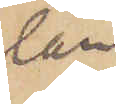län
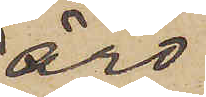äro
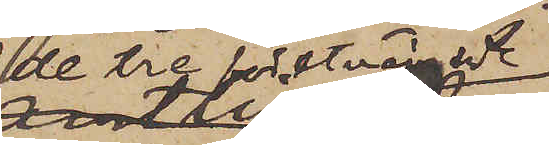de tre förstnämnde
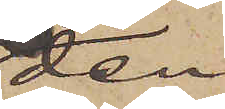den
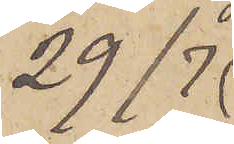29/7
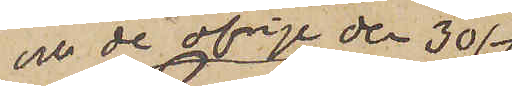och de öfrige den 30/7
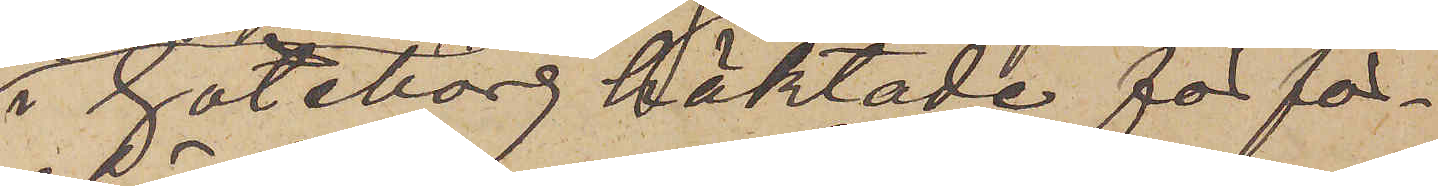i Göteborg häktade för för¬
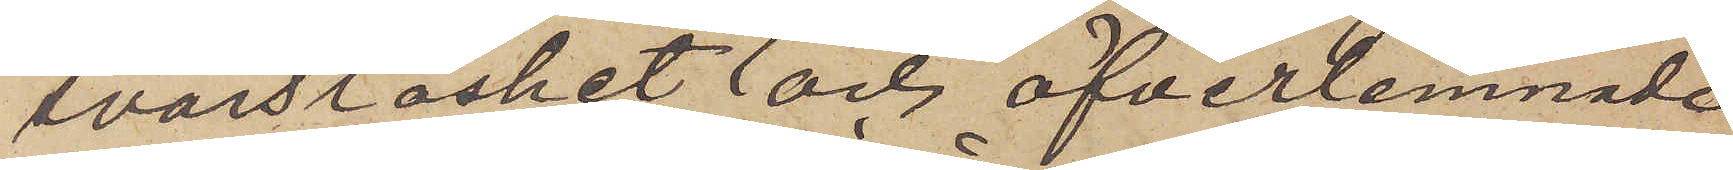svarslöshet och öfverlemnade
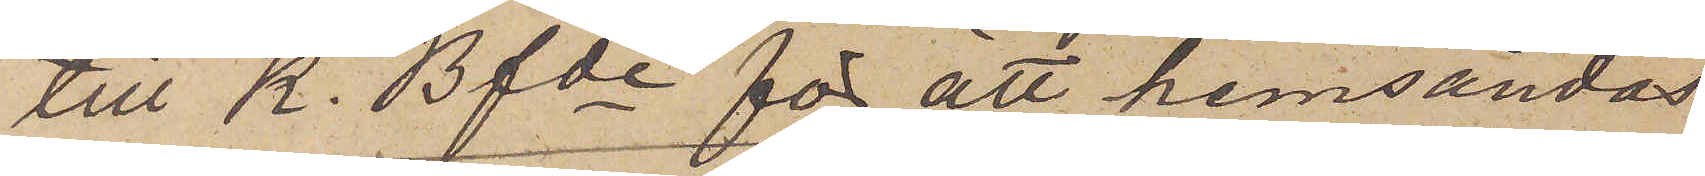till K. Bfde för att hemsändas
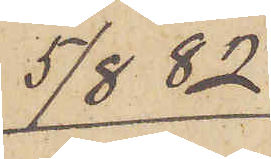5/8  82
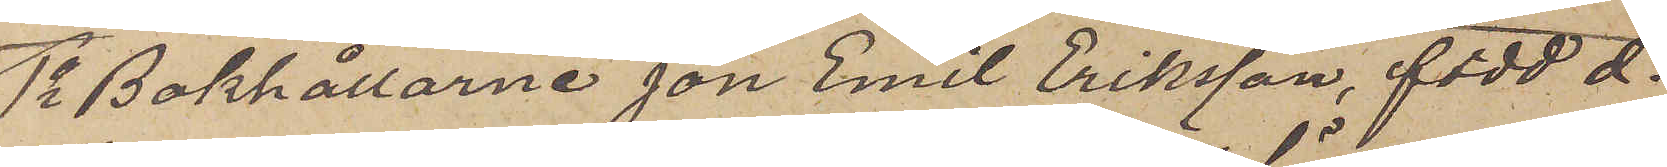1o Bokhållarne Jon Emil Eriksson, född d.
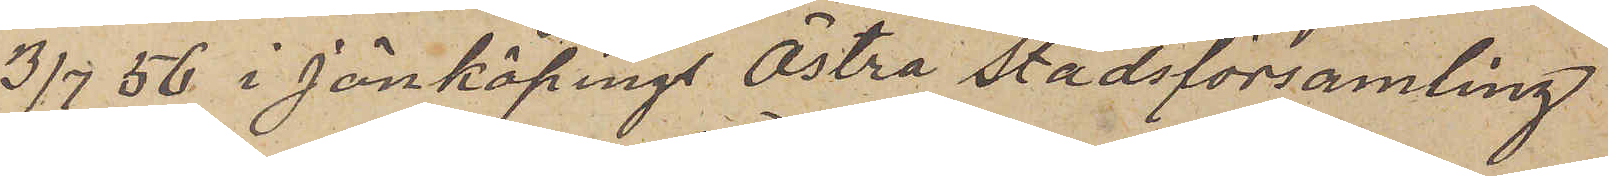3/7 56 i Jönköpings Östra Stadsförsamling
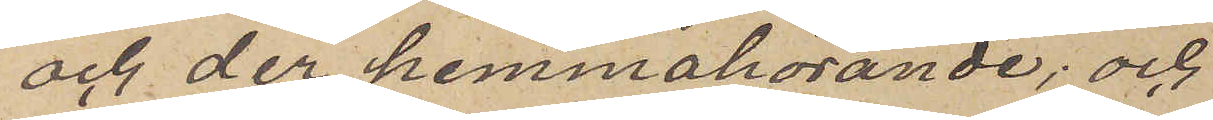och der hemmahörande; och
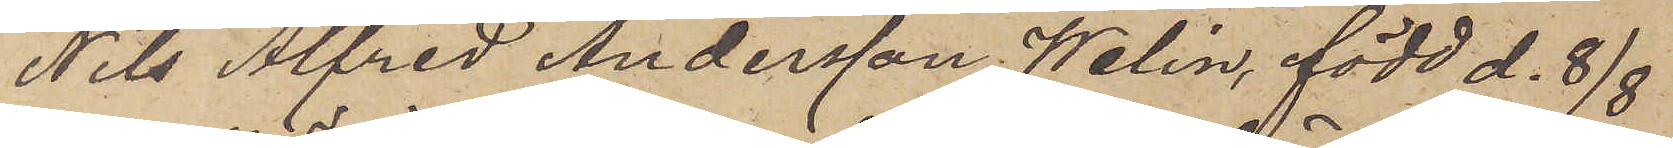Nils Alfred Andersson Welin, född d. 8/8
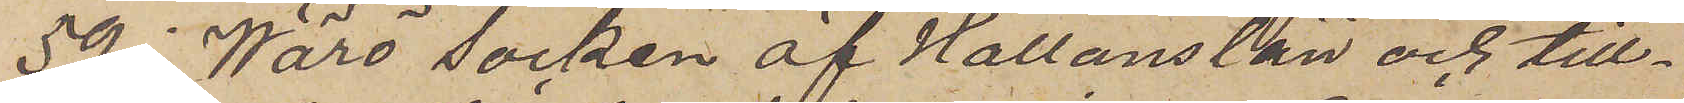59 i Wärö Socken af Hallans län och till¬
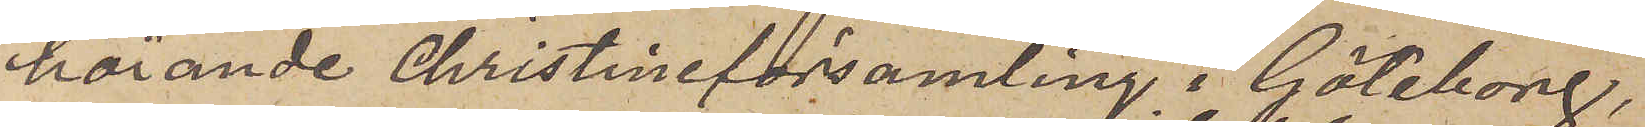hörande Christine församling i Göteborg,
